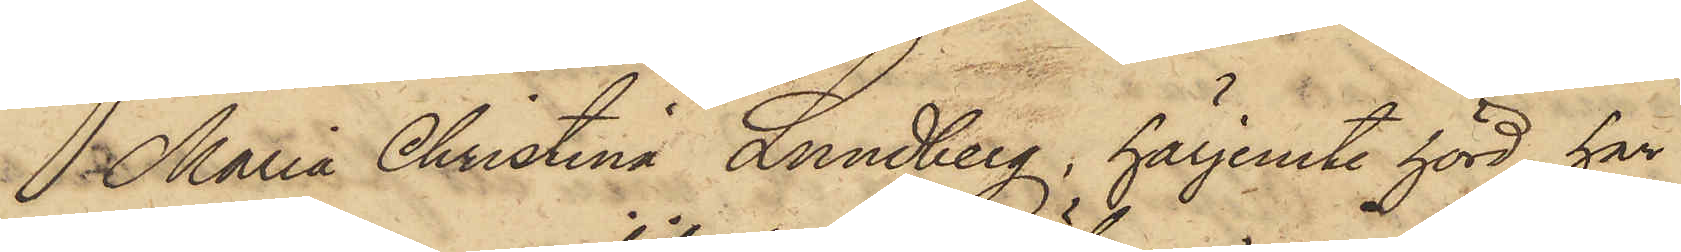Maria Christina Lundberg, härjemte hörd, har
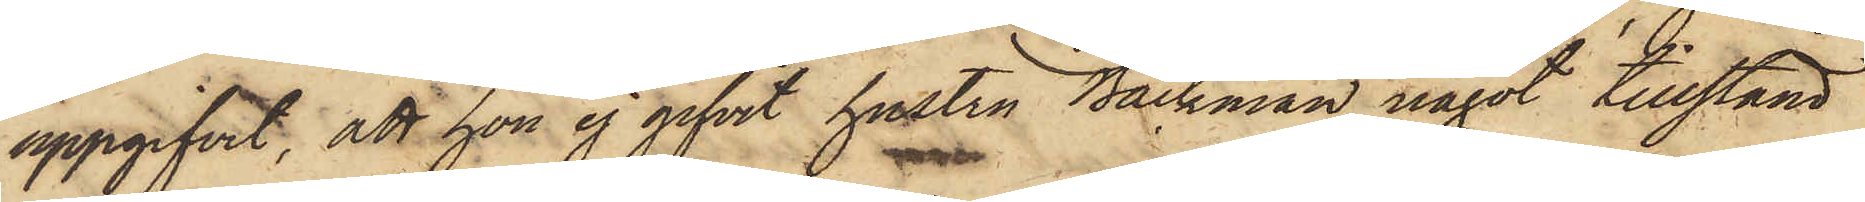uppgifvit, att hon ej gifvit hustru Bäckman något tillstånd
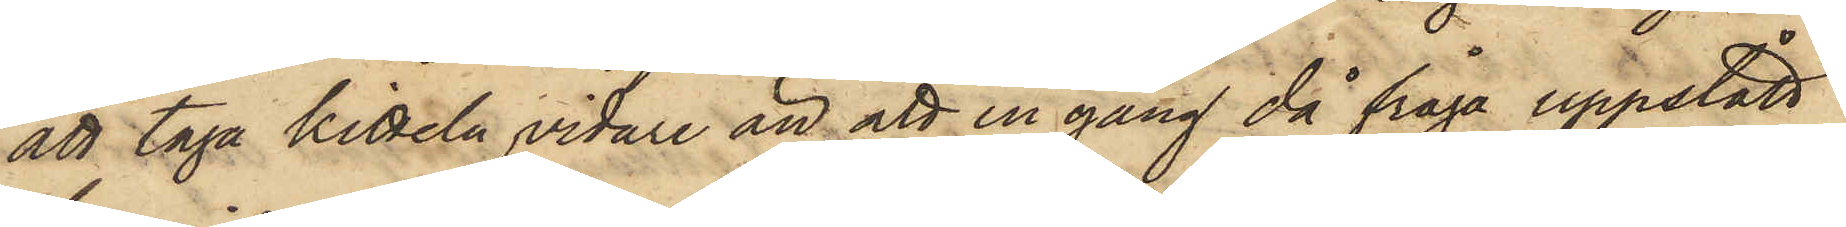att taga kitteln vidare än att en gång då fråga uppstått
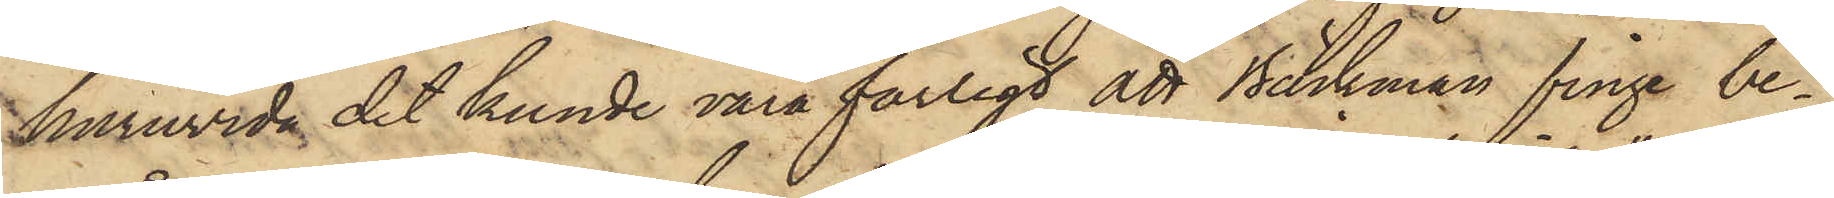huruvida det kunde vara farligt att Bäckman finge be¬
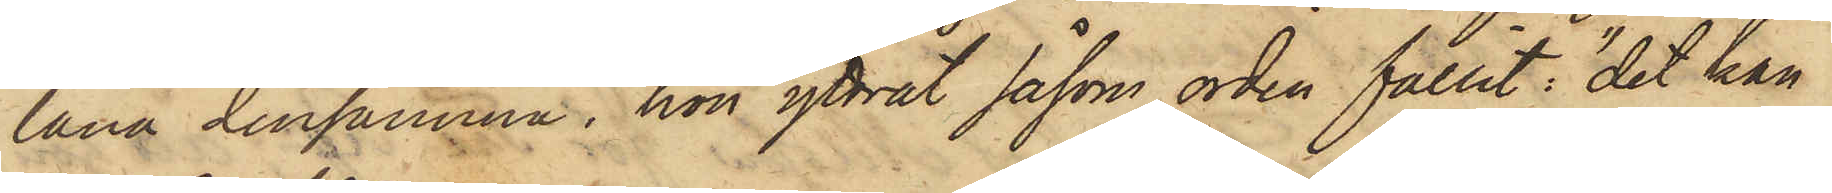låna densamma, hon yttrat såsom orden fallit; "det kan
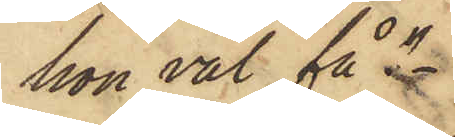hon väl få".
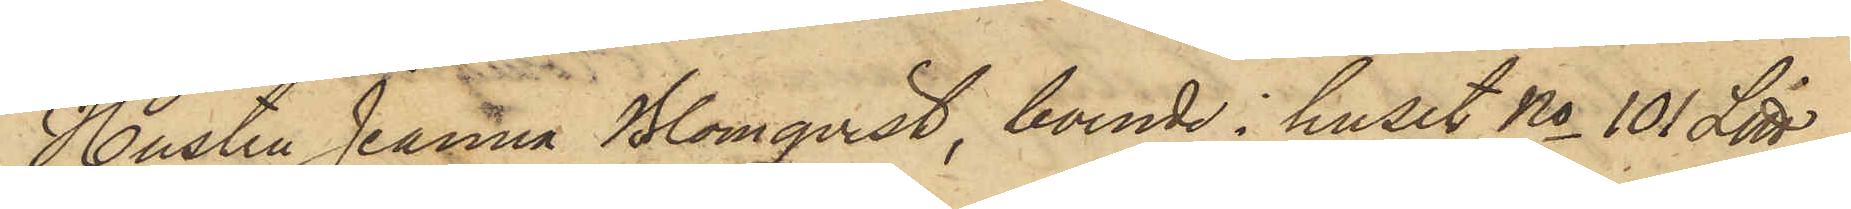Hustru Jeanna Blomqvist, boende i huset No 101 Litt
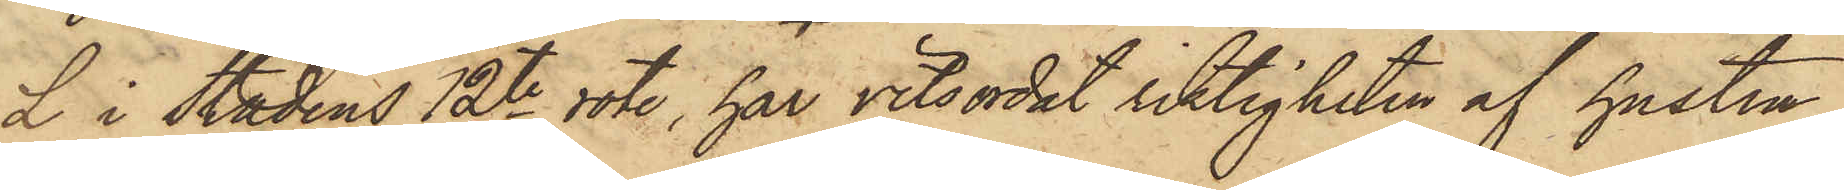L i Stadens 12te rote, har vitsordat riktigheten af hustru
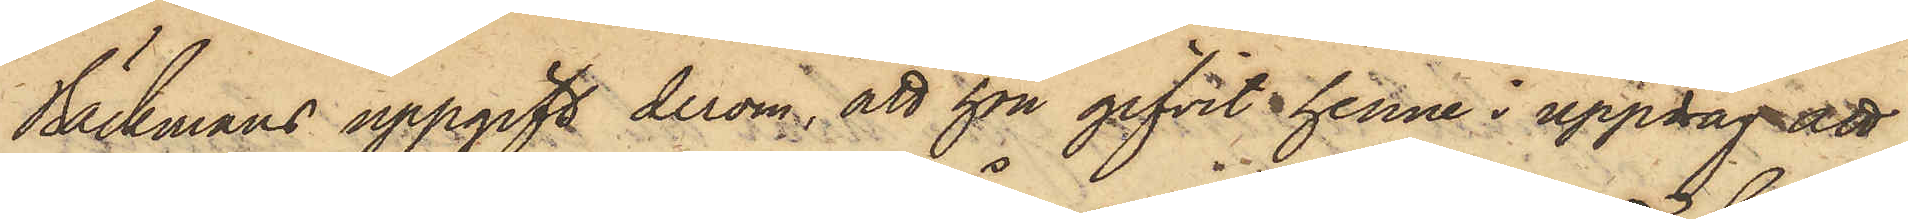Bäckmans uppgift derom, att hon gifvit henne i uppdrag att
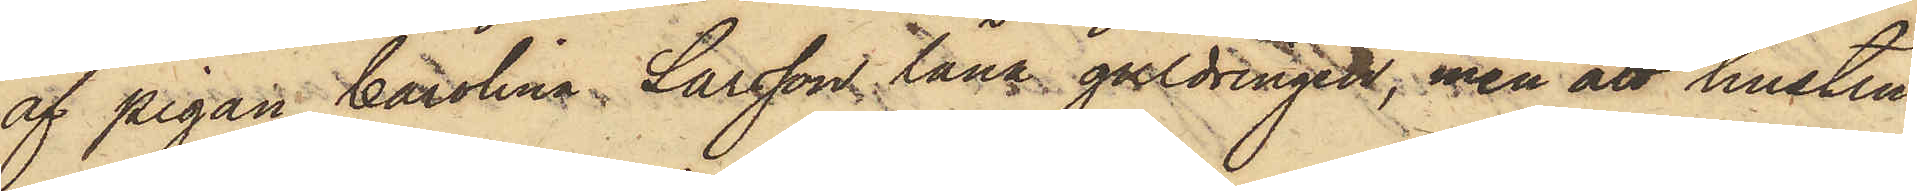af pigan Carolina Larsson, låna guldringen, men att hustru
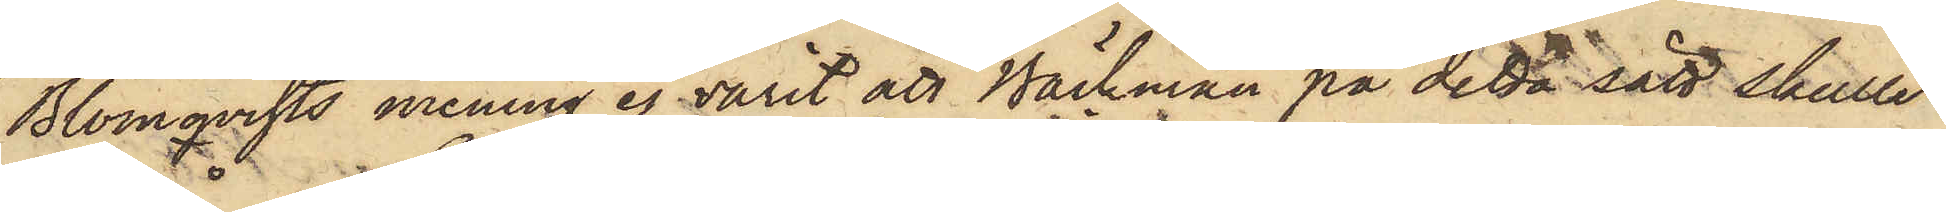Blomqvists mening ej varit att Bäckman på detta sätt skulle
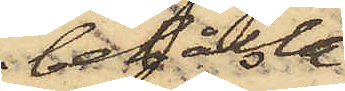behålla
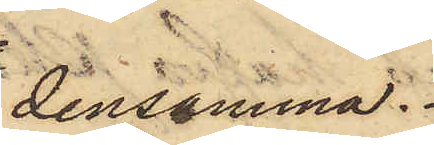densamma.
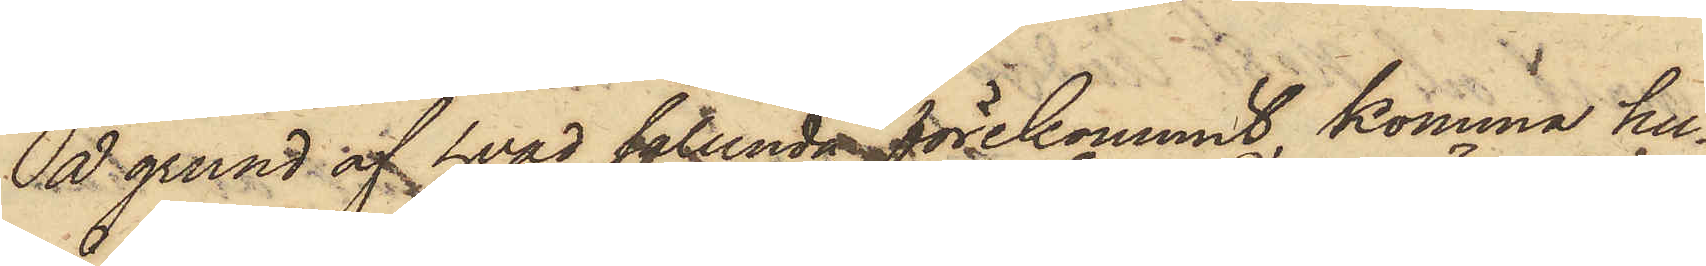På grund af hvad sålunda förekommit, komma hu¬
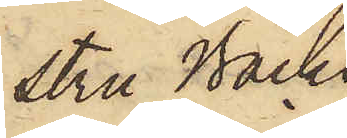stru Bäck¬
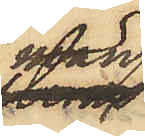man
